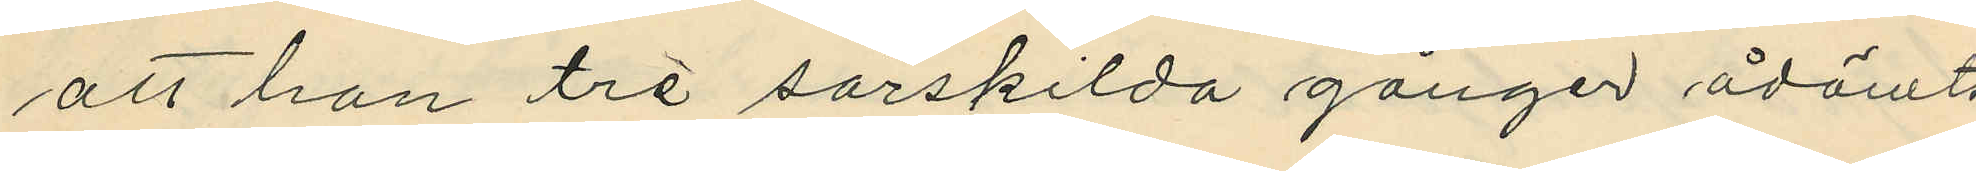att hon tre särskilda gånger ådömts
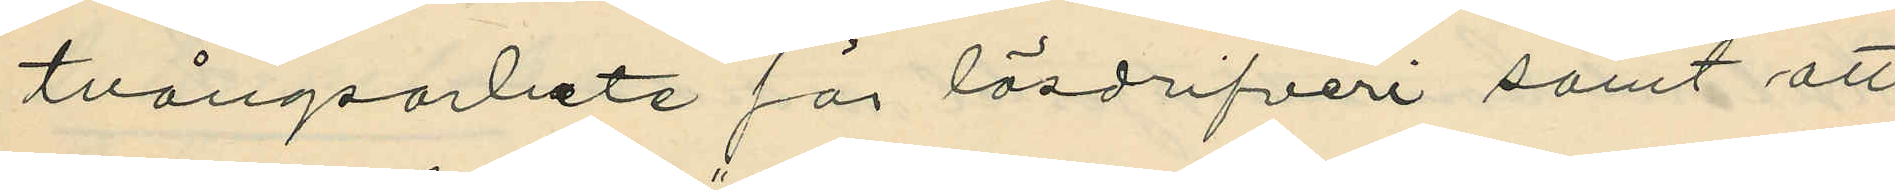tvångsarbete för lösdrifveri samt att
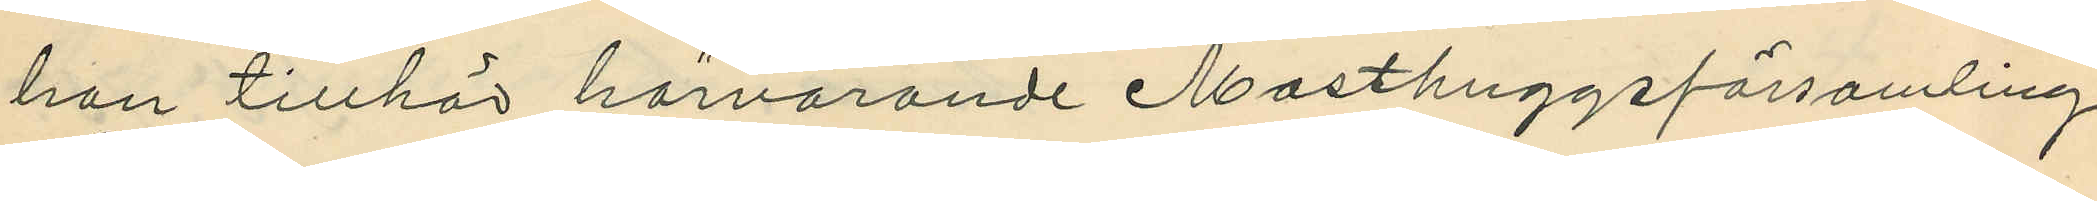hon tillhör härvarande Masthuggsförsamling.
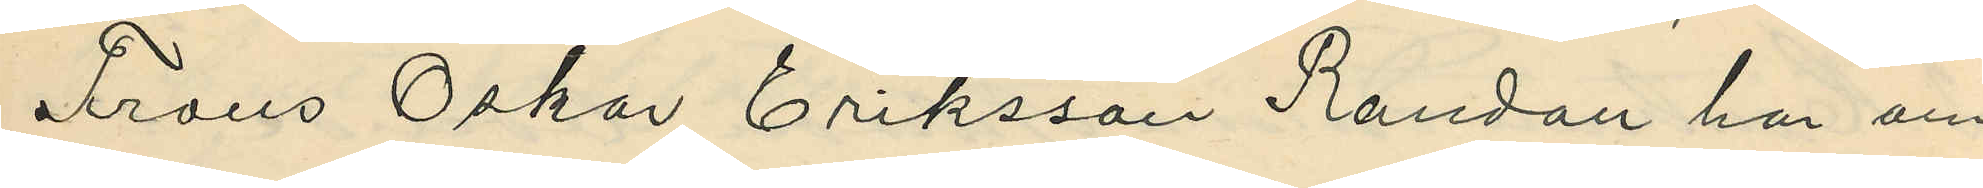Frans Oskar Eriksson Randau har om
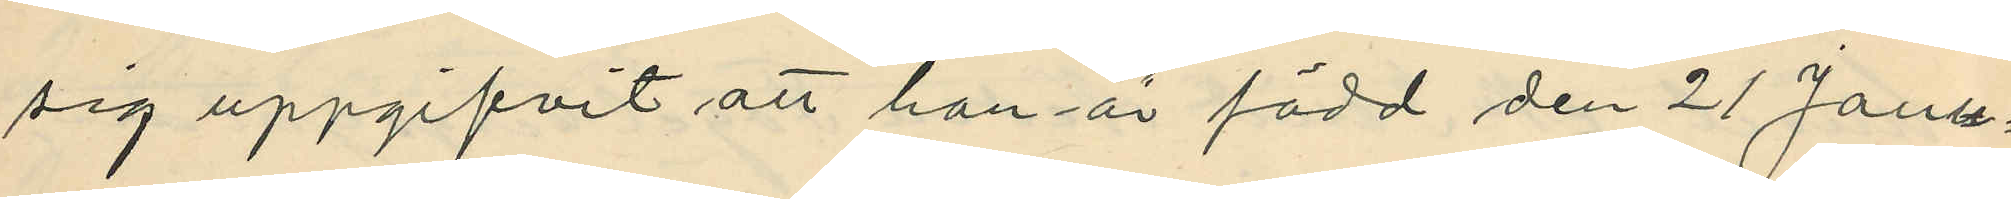sig uppgifvit att han är född den 21 Janu¬
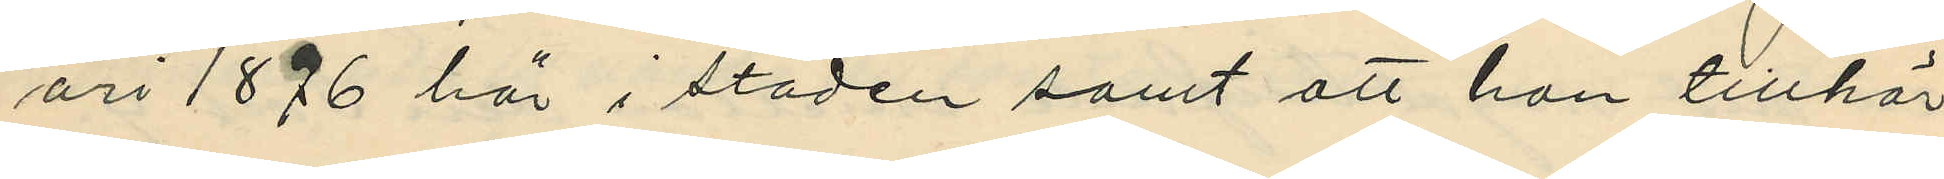ari 1876 här i staden samt att han tillhör
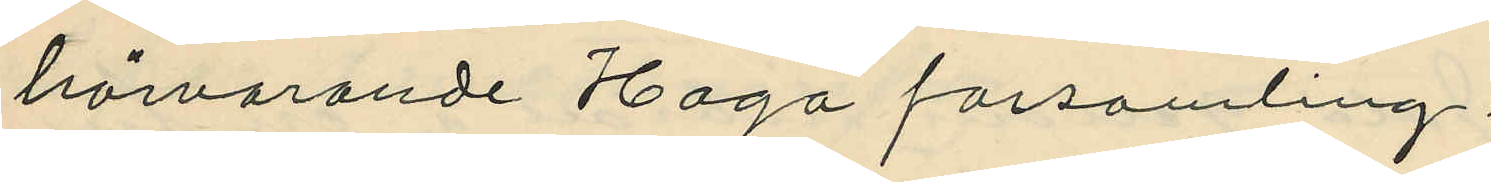härvarande Haga forsamling;
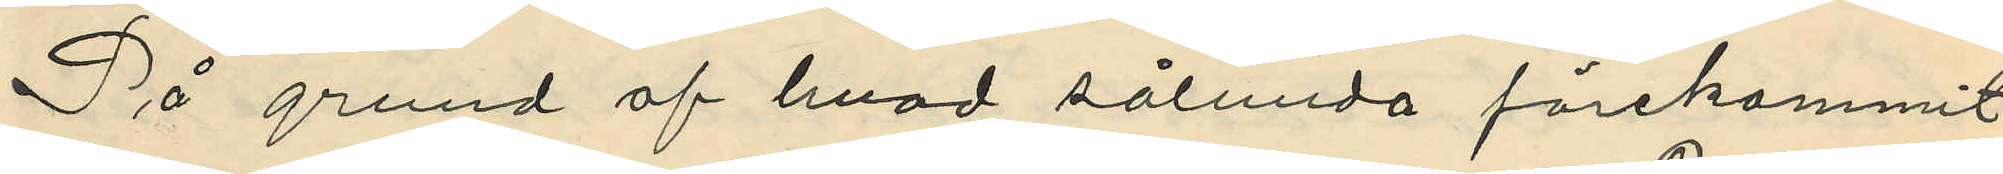På grund af hvad sålunda förekommit
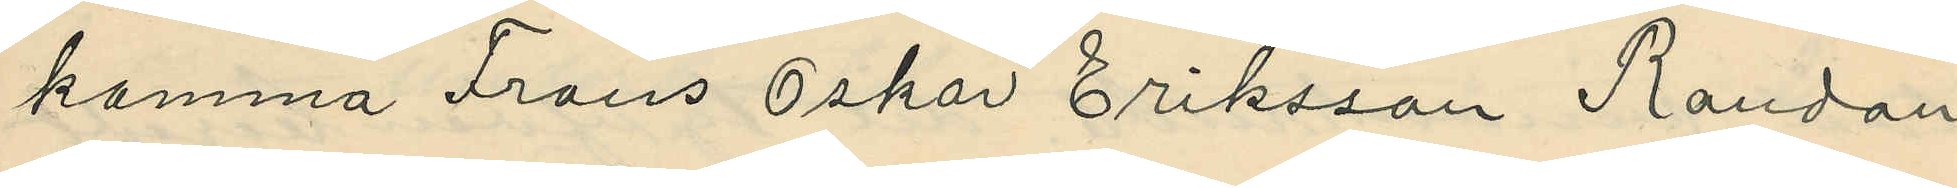komma Frans Oskar Eriksson Randau
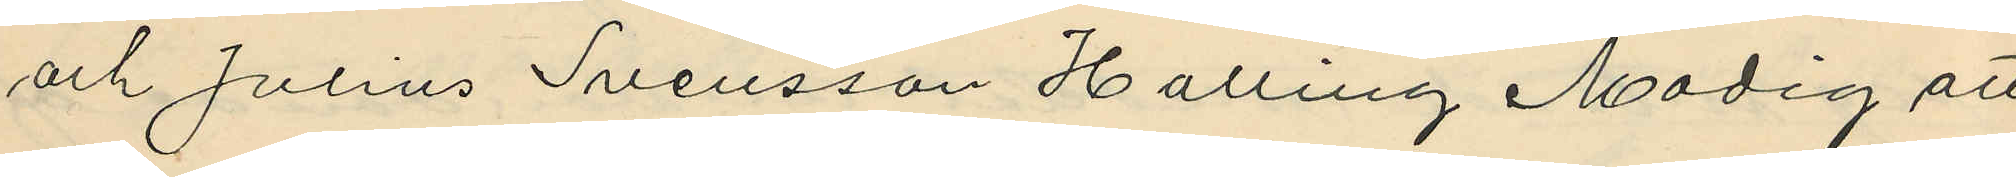och Julius Svensson Halling Modig att
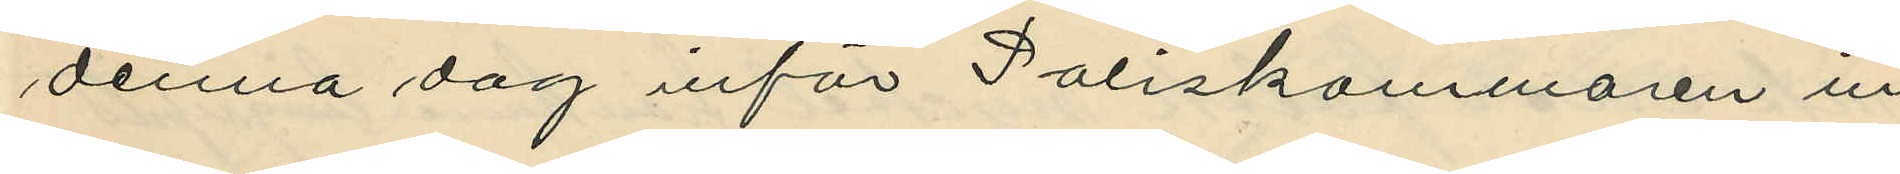denna dag inför Poliskammaren in¬
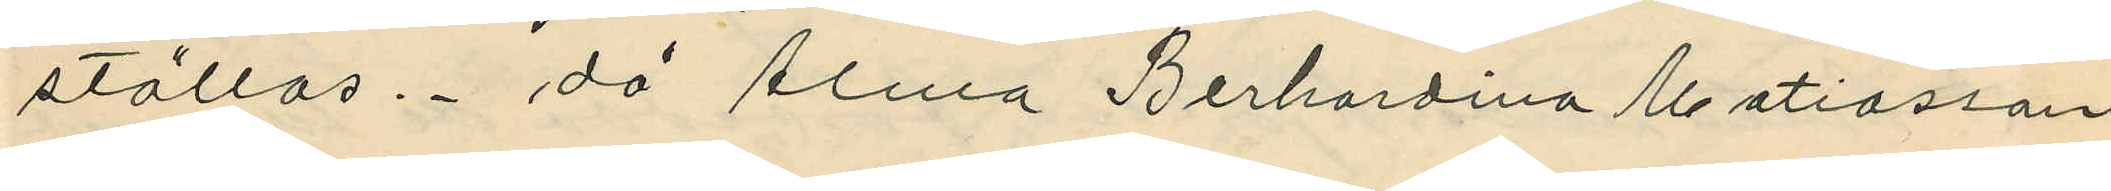ställas, då Alma Berhardina Matiasson
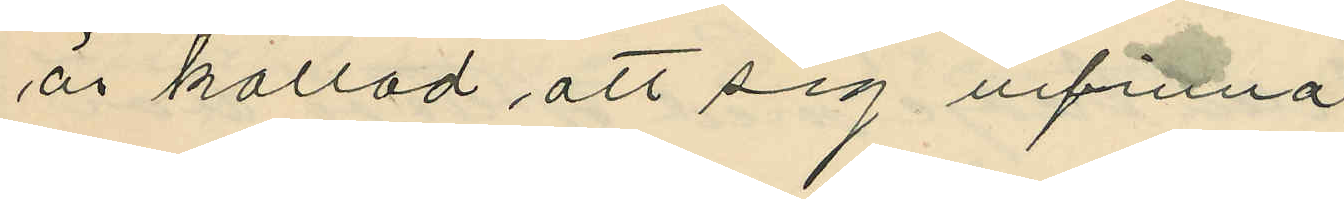är kallad att sig infinna.
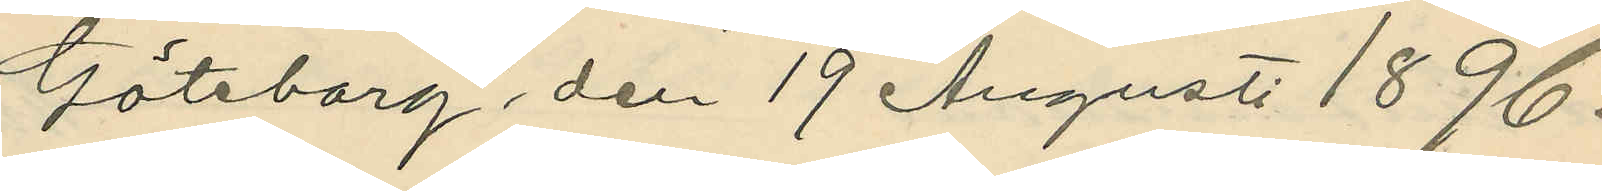Göteborg, den 19 Augusti 1896.
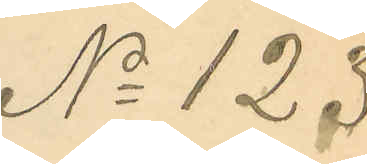No 123
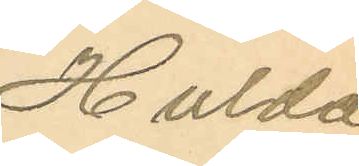Hulda
